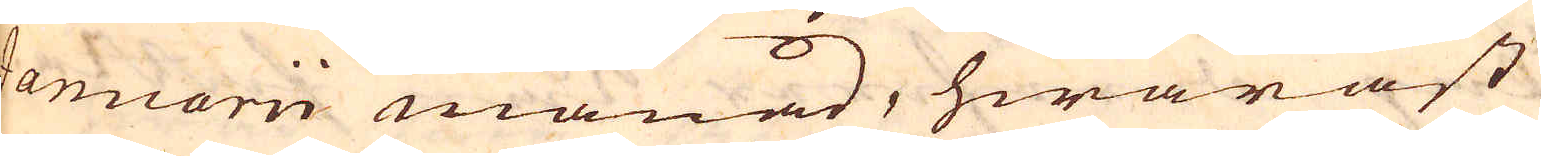Januarii månad, hwaräst
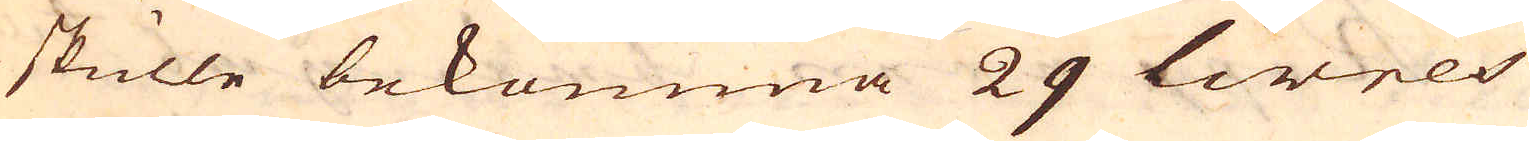de skulle bekomma 29 livres
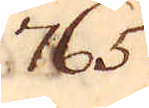765.
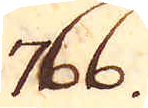766.
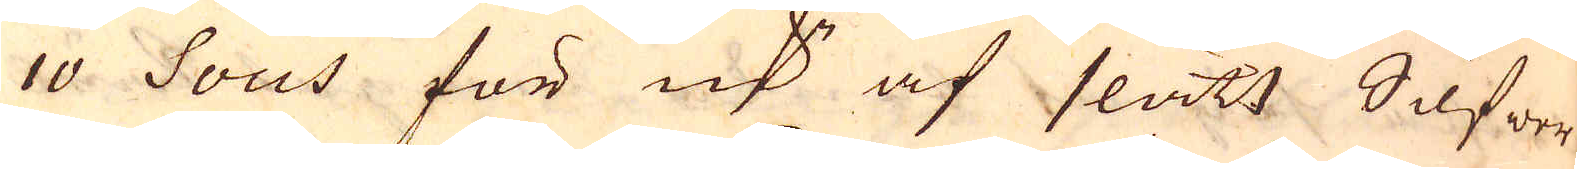10 Sous för marker af slätt Silfwer
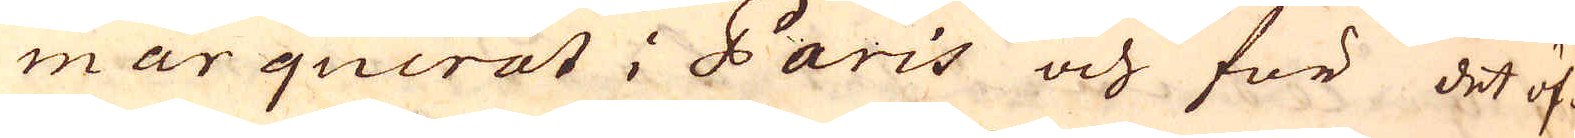marquerat i Paris och för det öf-
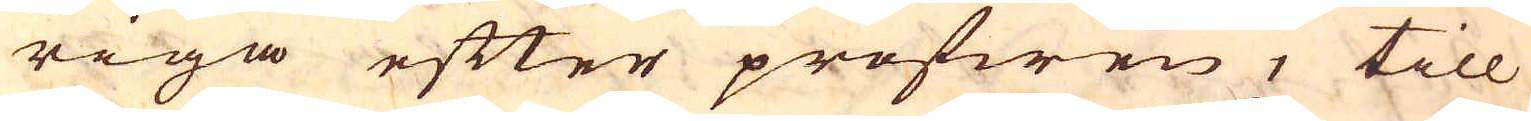riga efter profwen, till
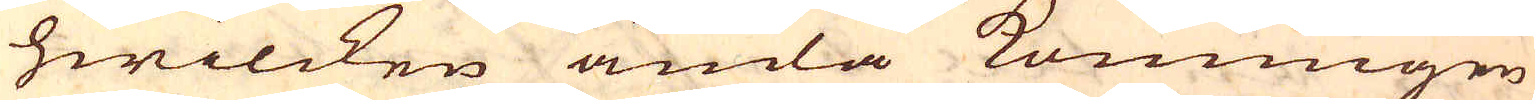hwilcken ända Konungen
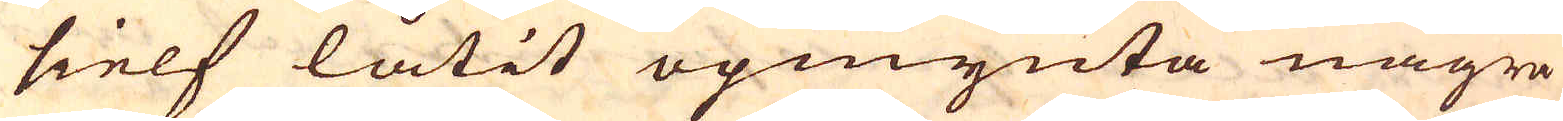sielf låtit opmynta några
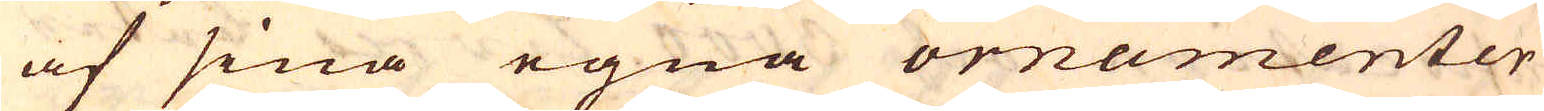af sina egna ornamenter
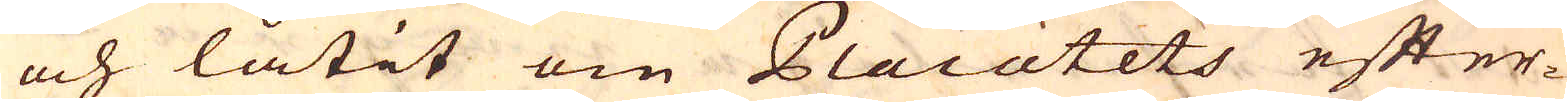och låtit om Placatets efter-
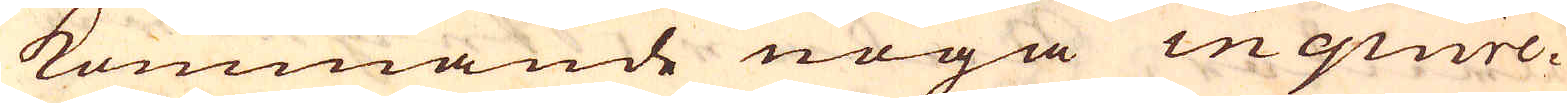kommande noga inquire-
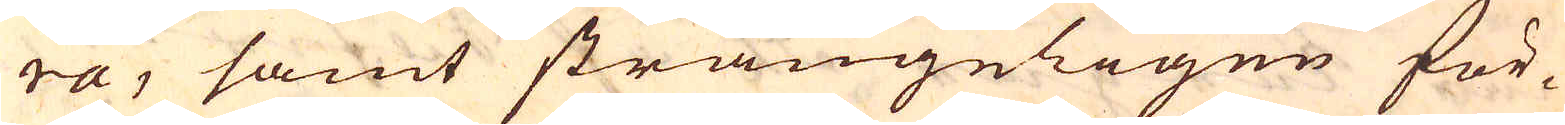ra, samt strängeligen för-
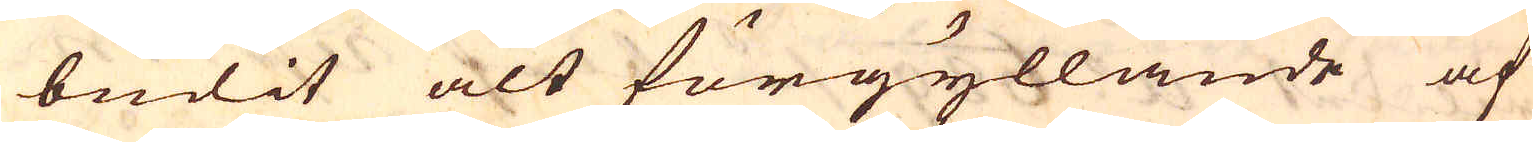budit alt förgyllande af
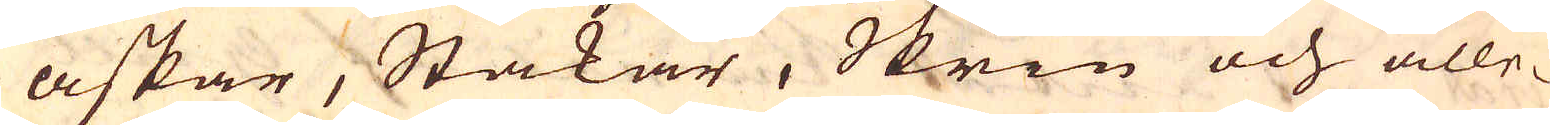askar, Stakar, Skrin och alle-
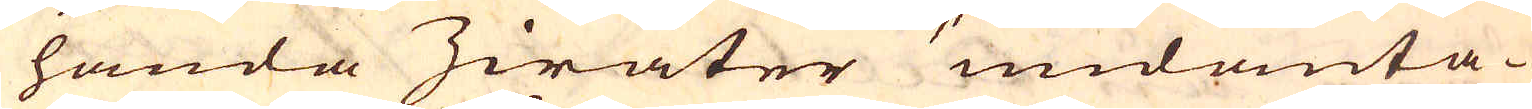handa Zirater undanta-
